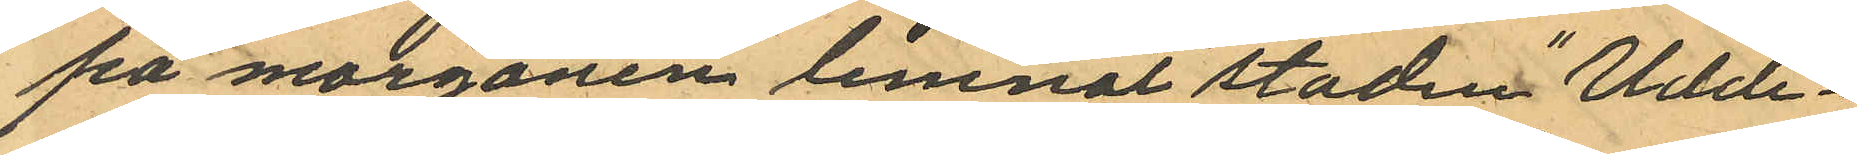på morgonen lemnat staden "Udde¬
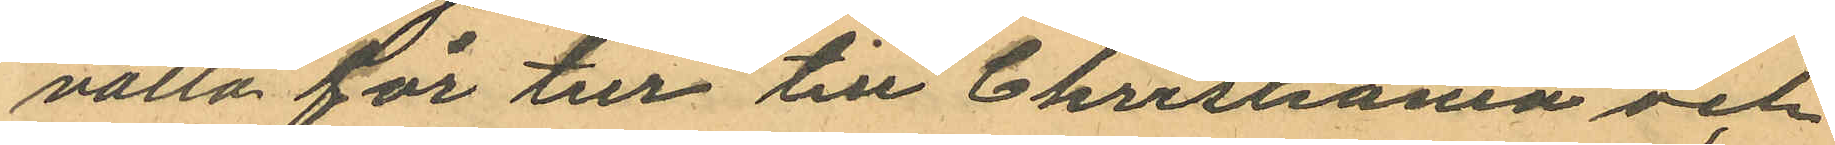valla för tur till Christiania och
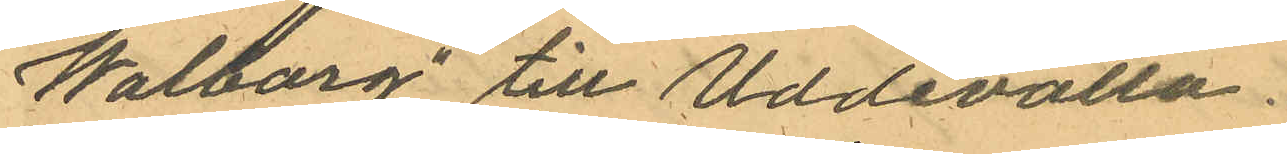"Walborg" till Uddevalla.
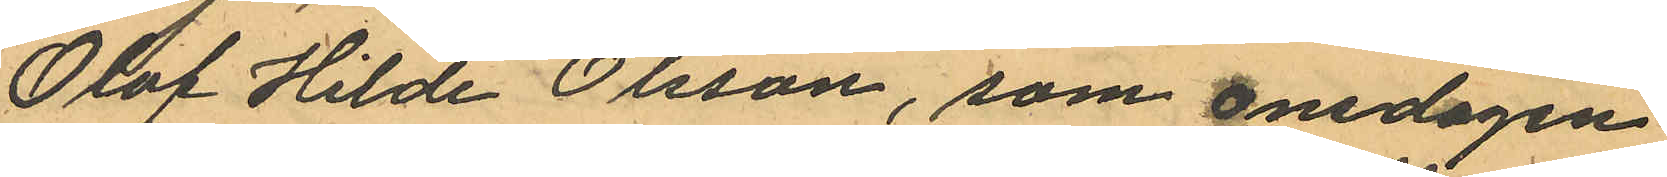Olof Hilde Olsson, som onsdagen
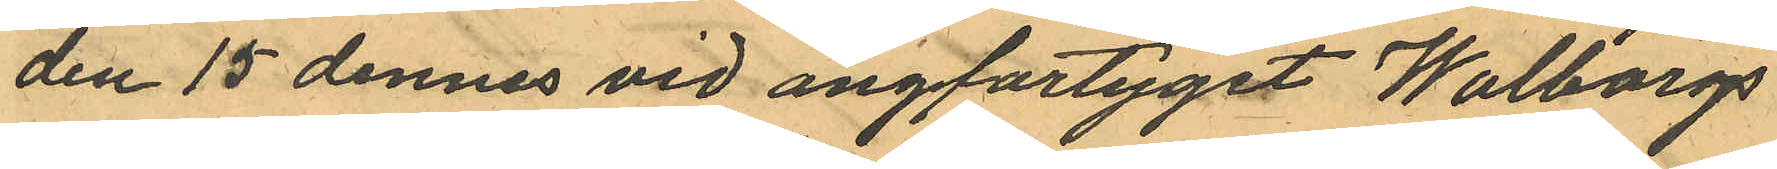den 15 dennes vid angfartyget Walborgs
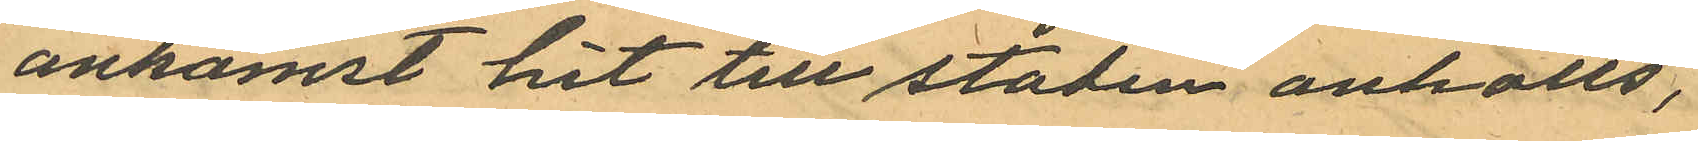ankomst hit till staden anhölls,
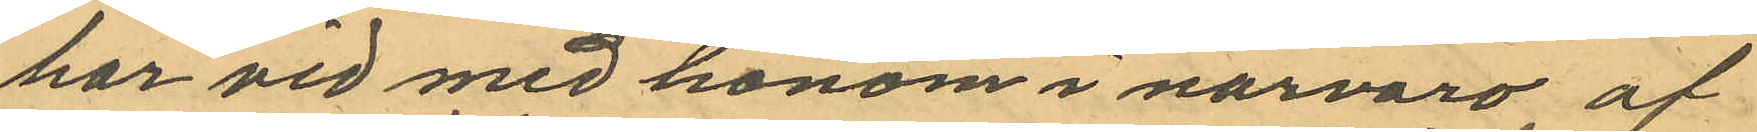har vid med honom i narvaro af
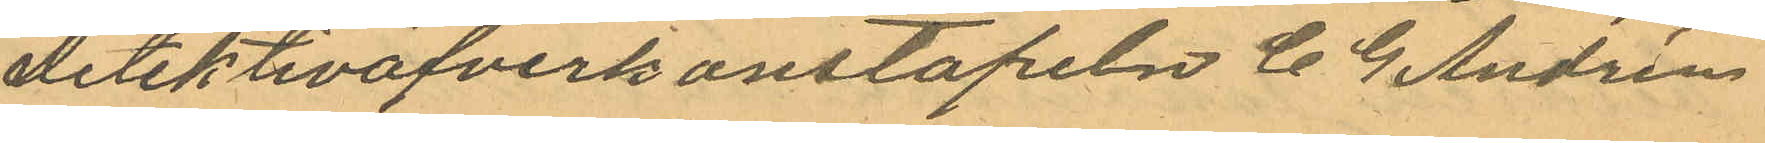detektivöfverkonstapeln C. G. Andrén
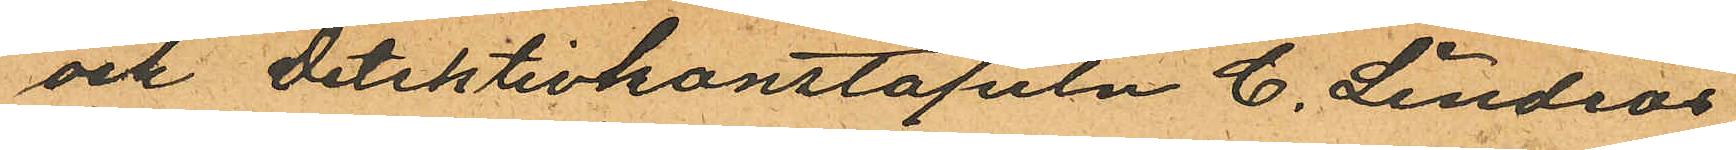och detektivkonstapeln C. Lindros,
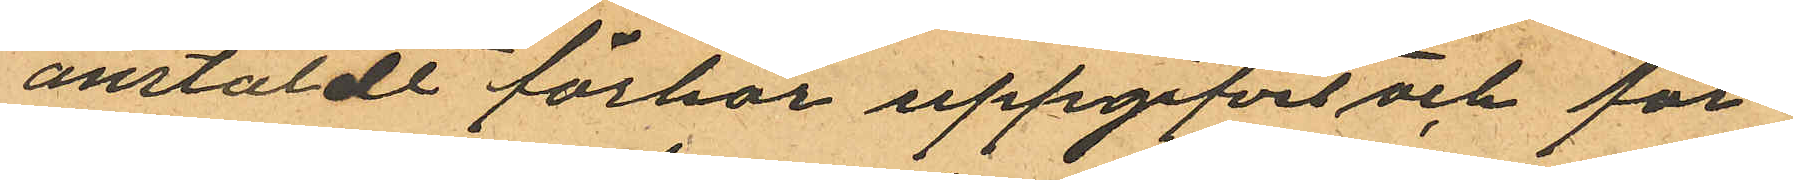anstäldt förhör uppgifvit och för¬
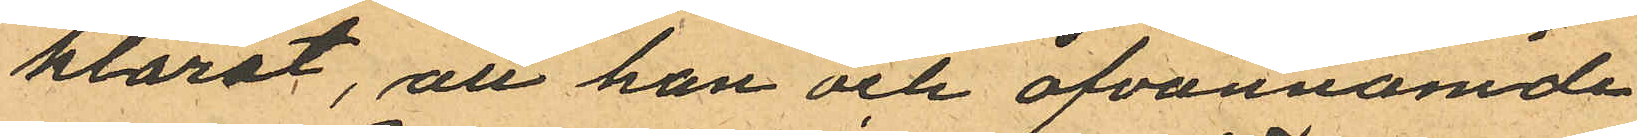klarat, att han och ofvannämde
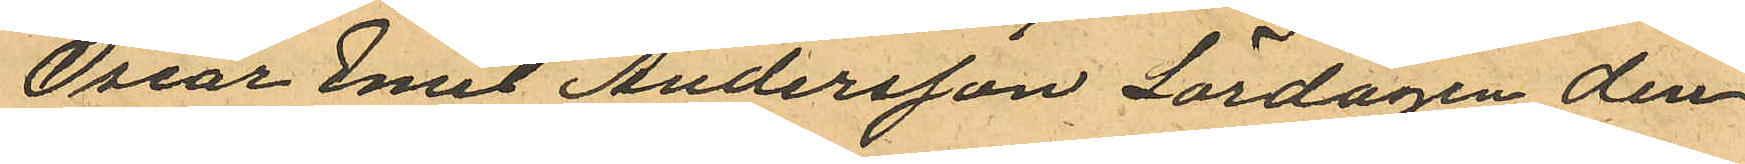Oscar Emil Andersson Lördagen den
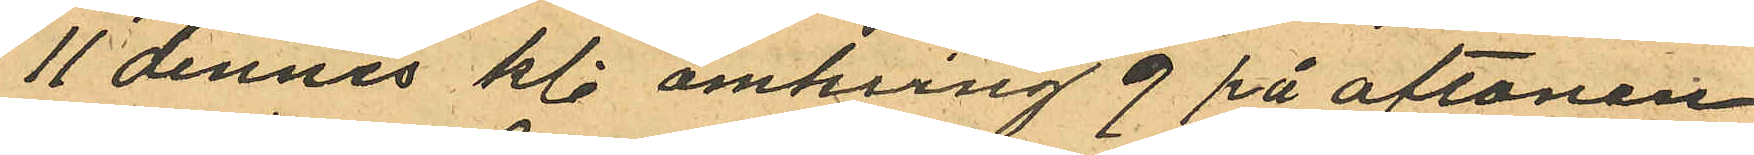11 dennes kl. omkring 9 på aftonen
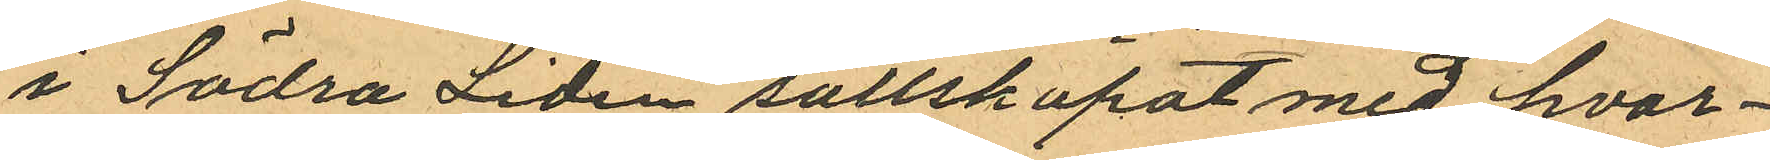i Södra Liden sällskapat med hvar¬
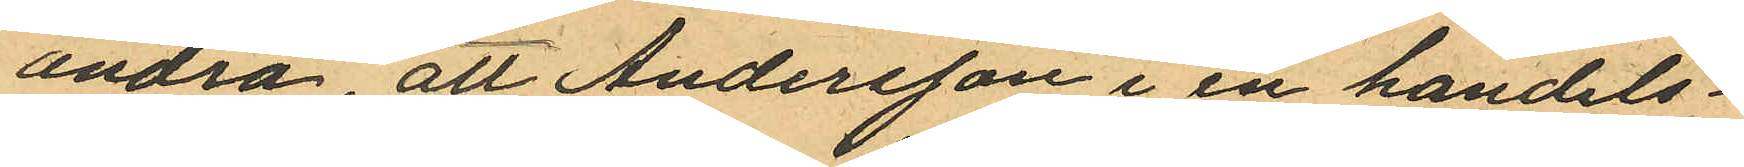andra att Andersson i en handels¬
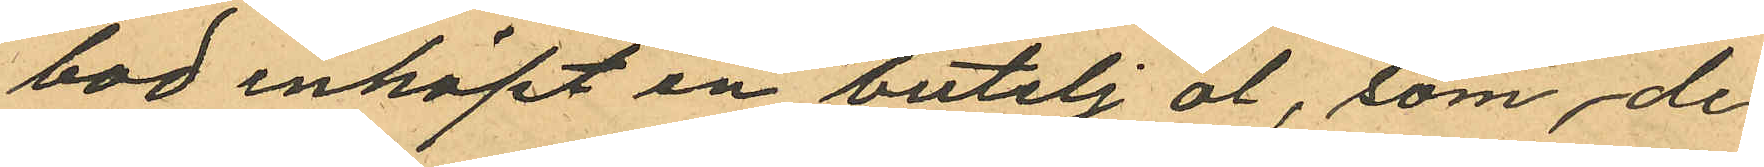bod inköpt en butelj öl, som de
